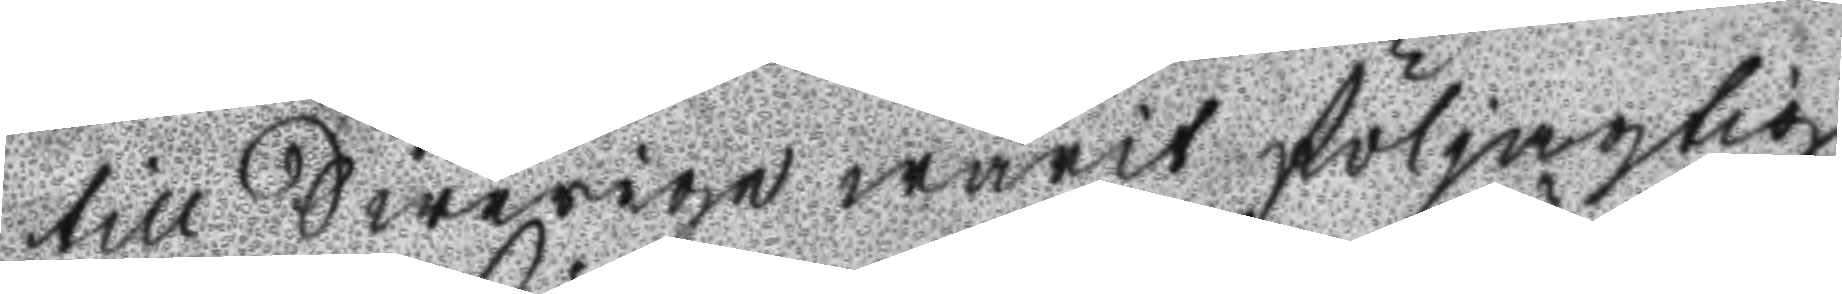till Swerige warit följagtig
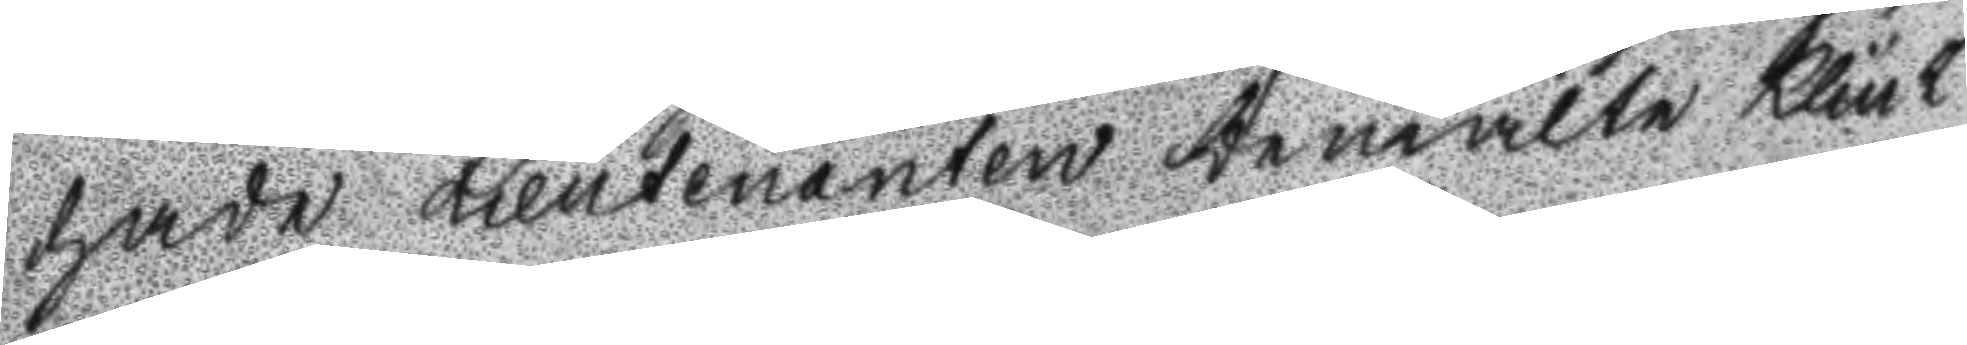hade Lieutenanten bemälte Klint
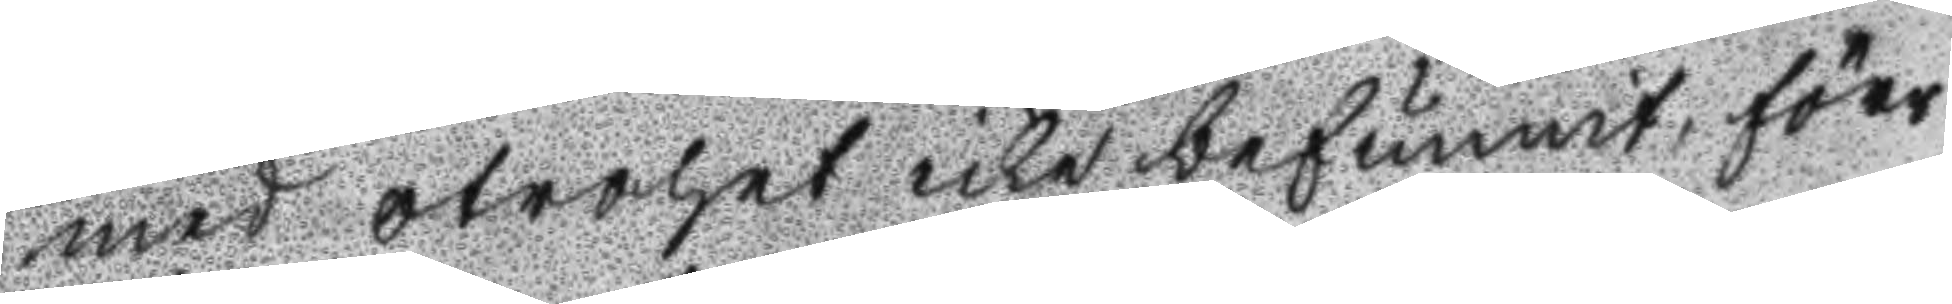med otrohet icke befunnit, förr
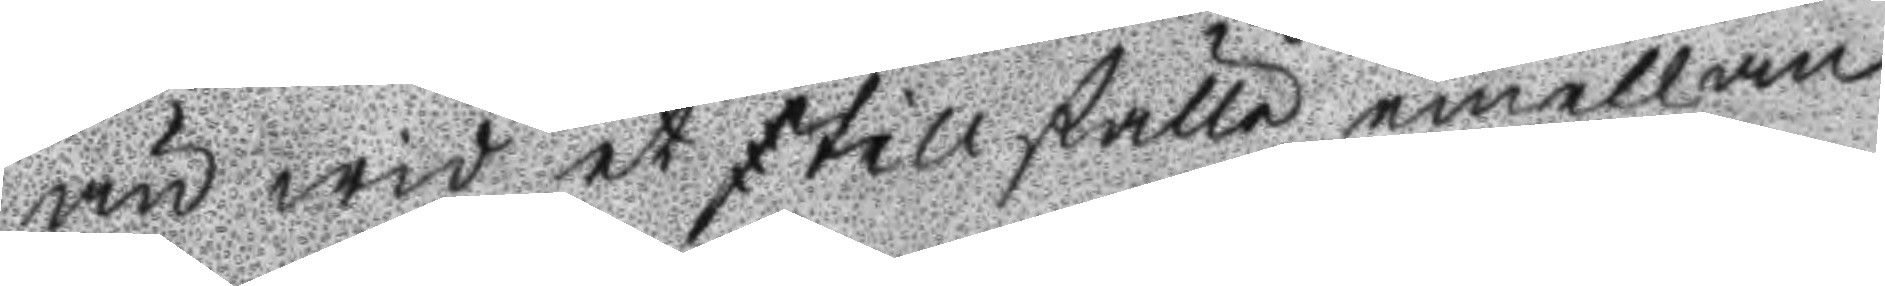än wid et tillfälle emellan
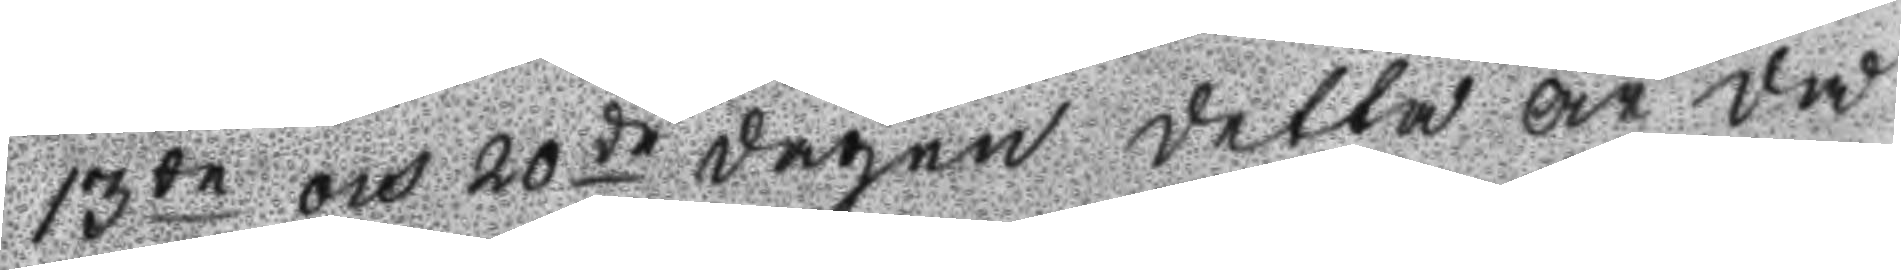13de och 20de dagen detta år då
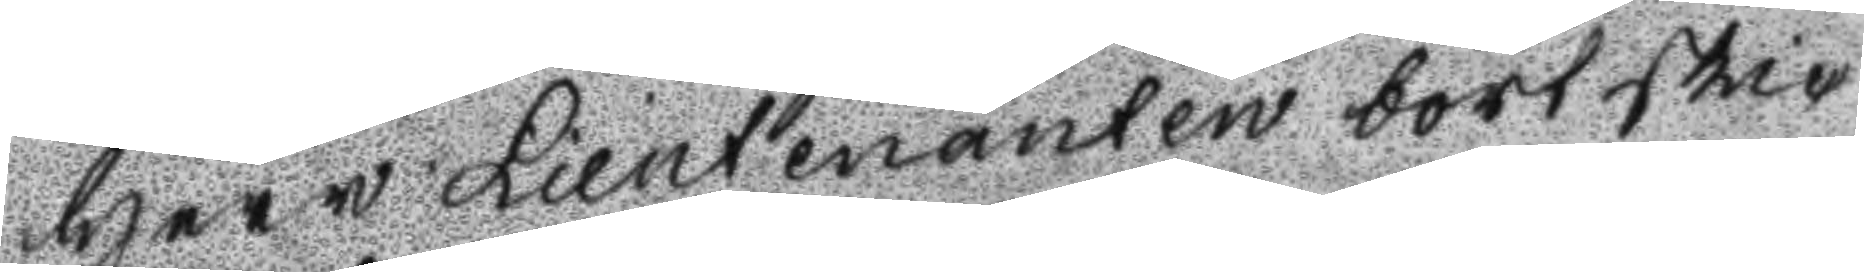Herr Lieutenanten bortskic
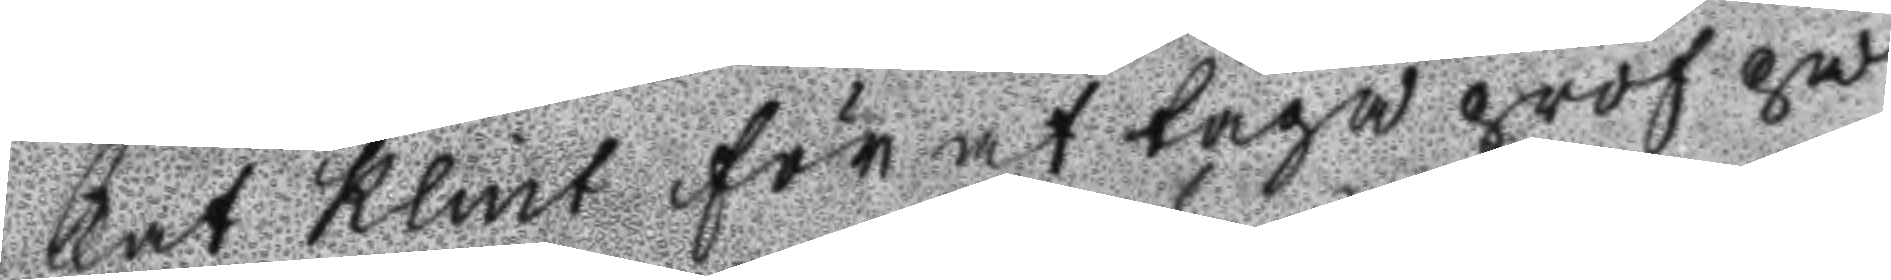kat Klint för at taga prof på
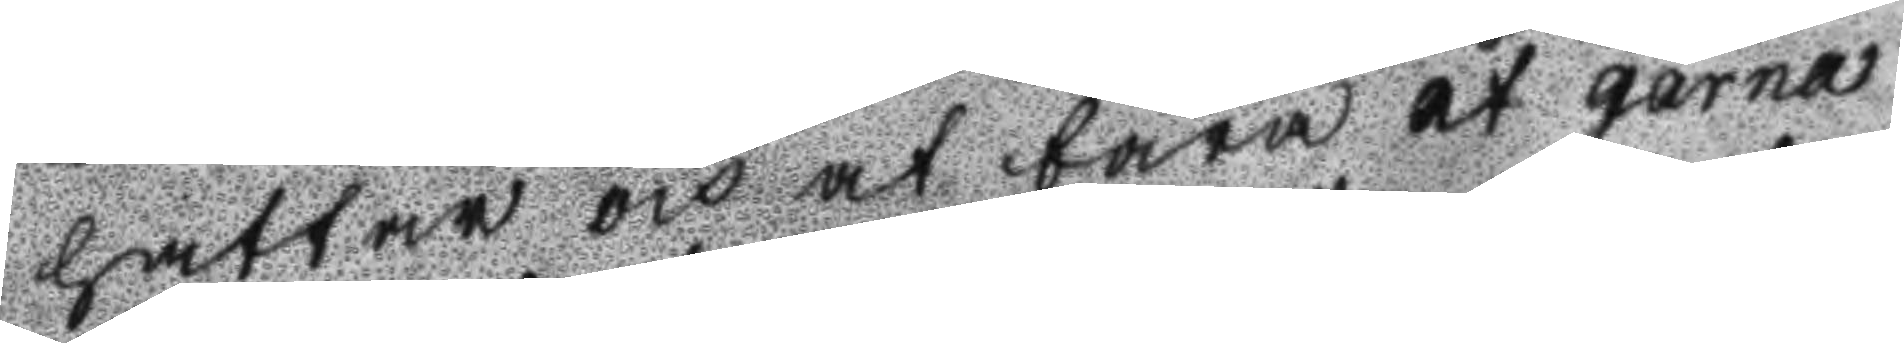hattar och at bära et garna
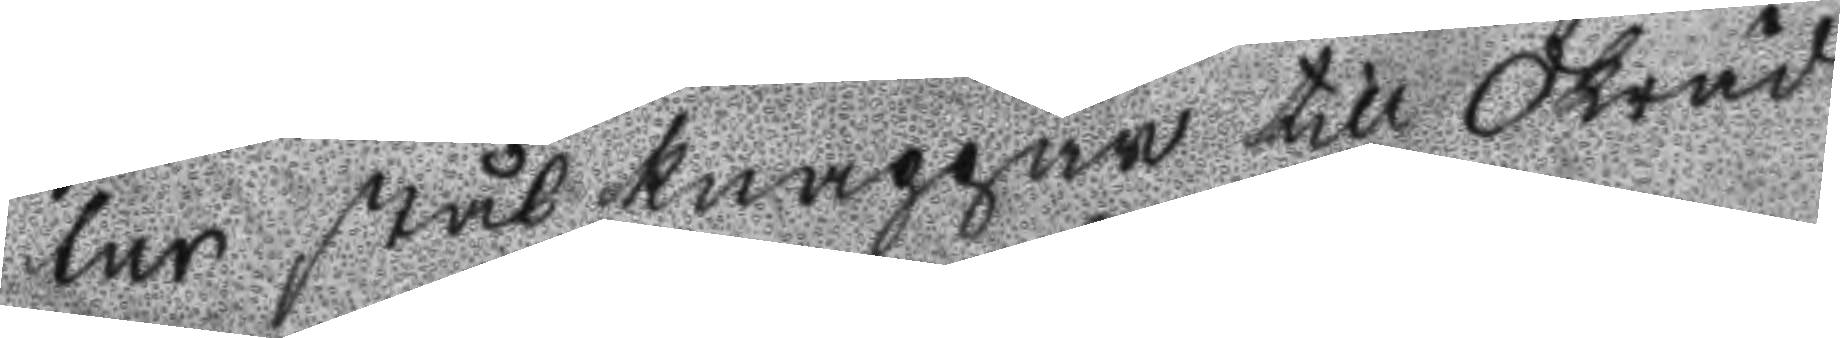lur stålknappar till Skräd
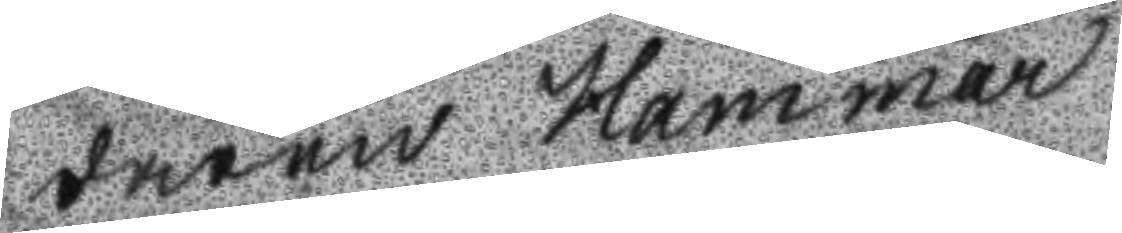daren Hammar.
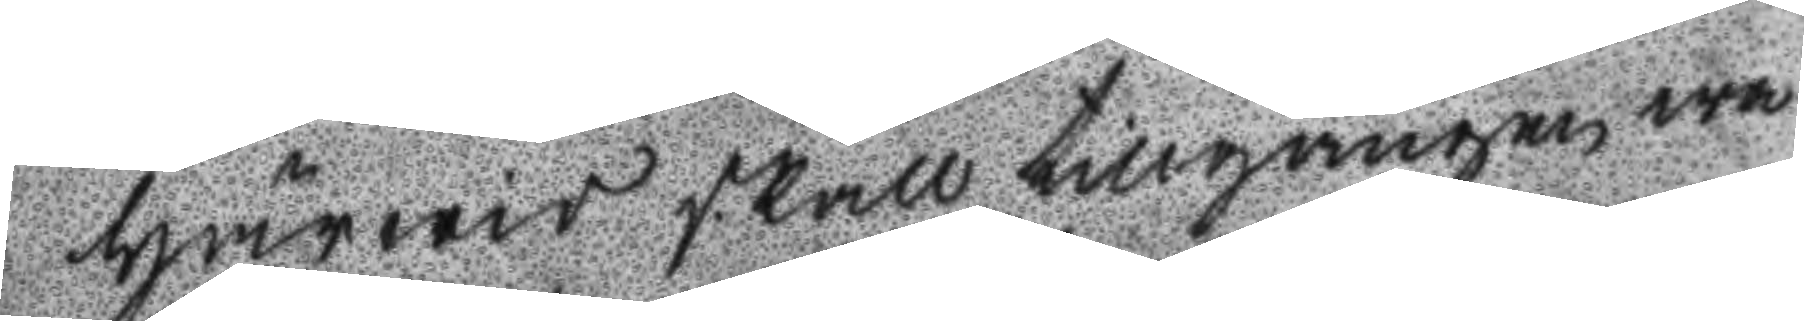härwid skall tillgången wa
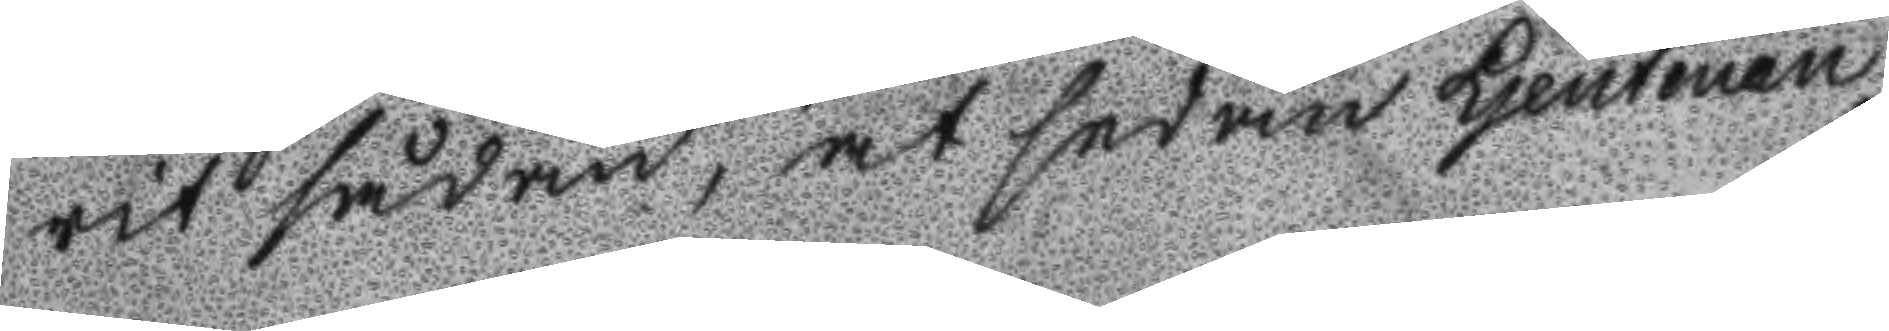rit sådan, at sedan Ljeutenan
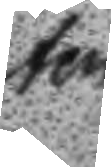ten
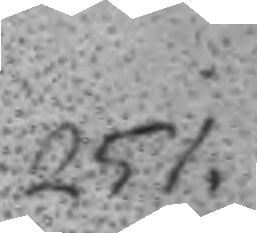251.
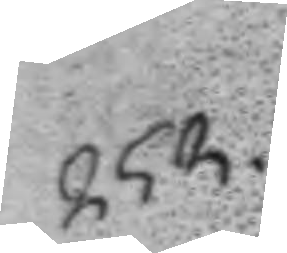252.
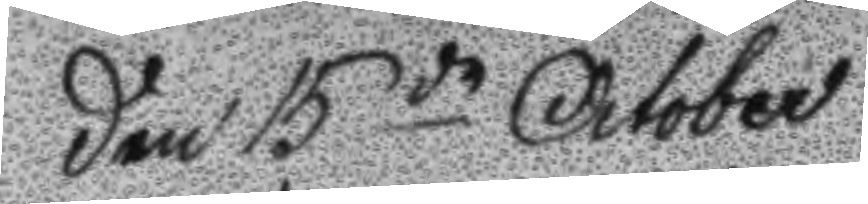Den 15de October
